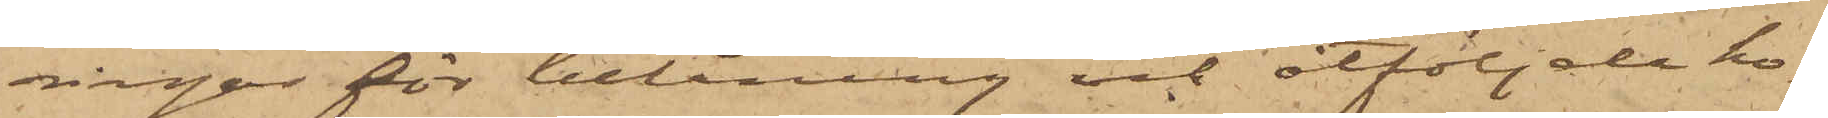ningar för belåning och åtföljde ho¬
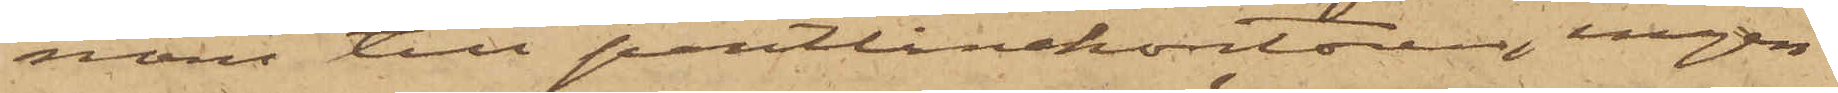nom till pantlånekontoren, ingen
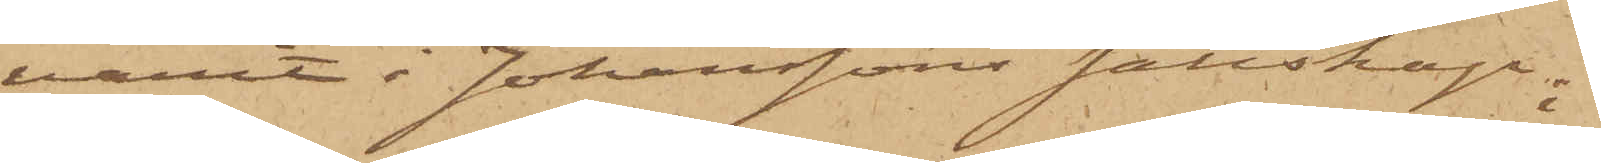varit i Johanssons sällskap;
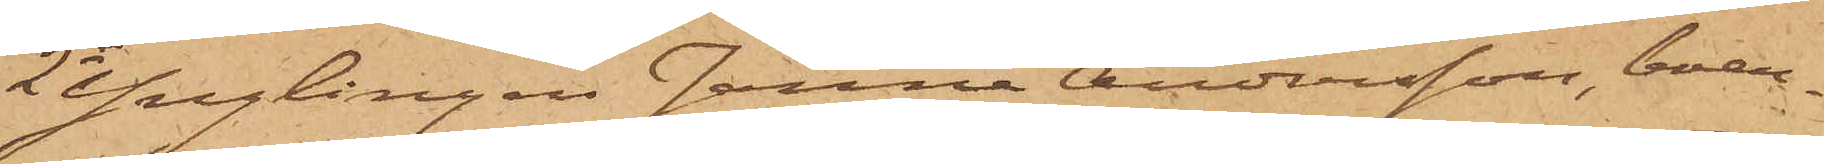2o Ynglingen Janne Andersson, boen¬
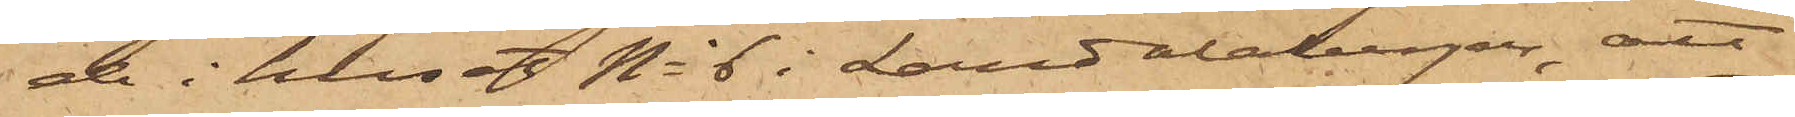de i huset No 6 i Landalabergen, att
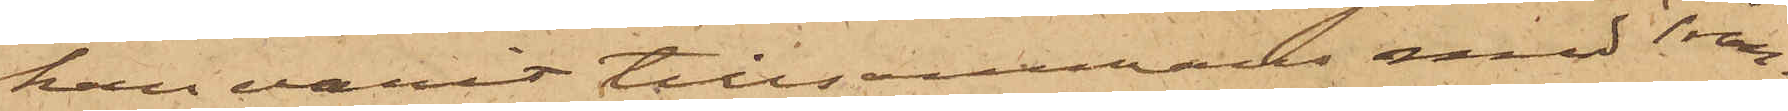han varit tillsammans med Tran¬
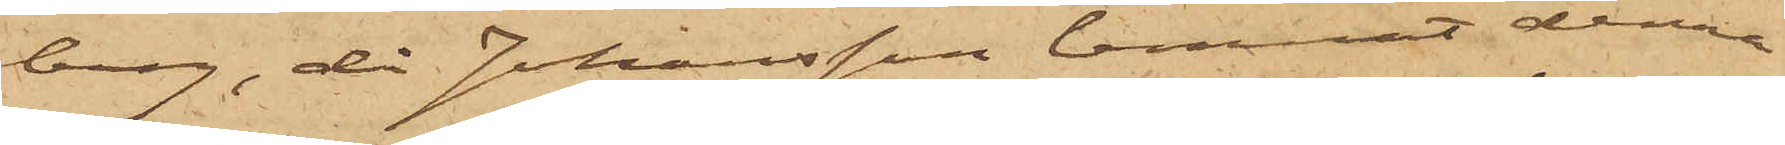berg, då Johansson lemnat denna
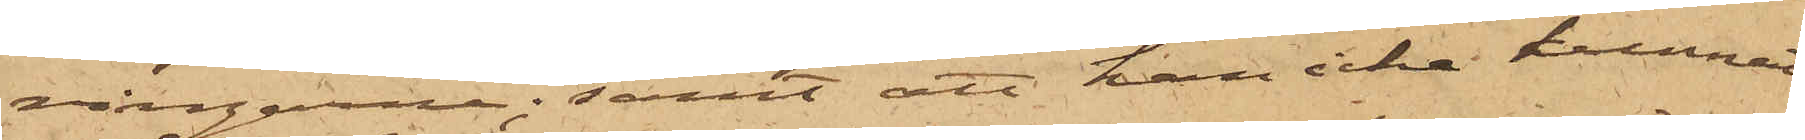ringarne; samt att han icke kunnat
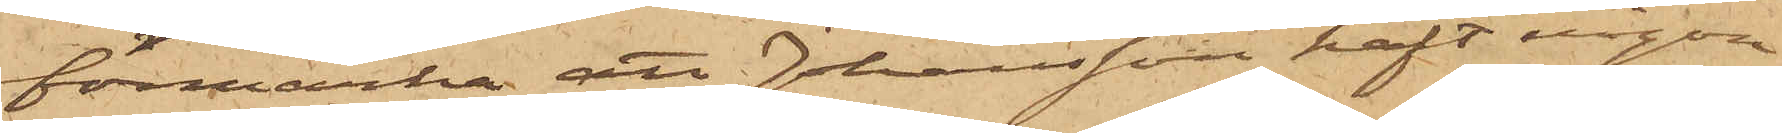förmärka att Johansson haft någon
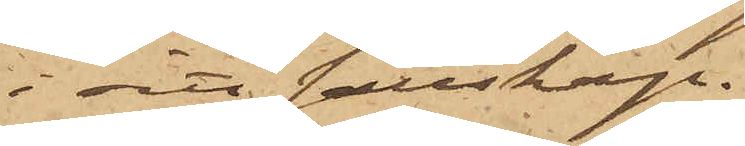i sitt sällskap.
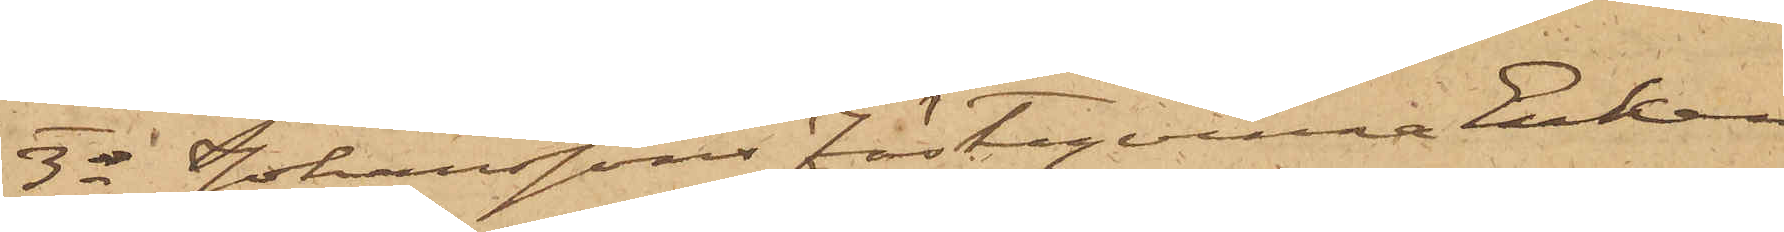3o Johanssons Fästeqvinna Enkan
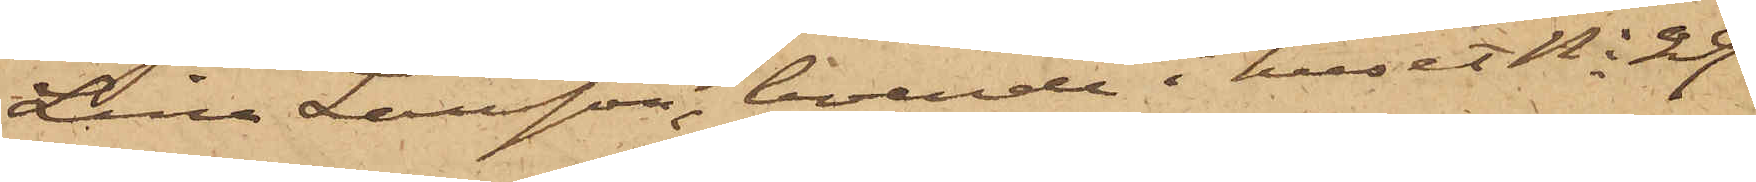Lina Larsson, boende i huset No 29
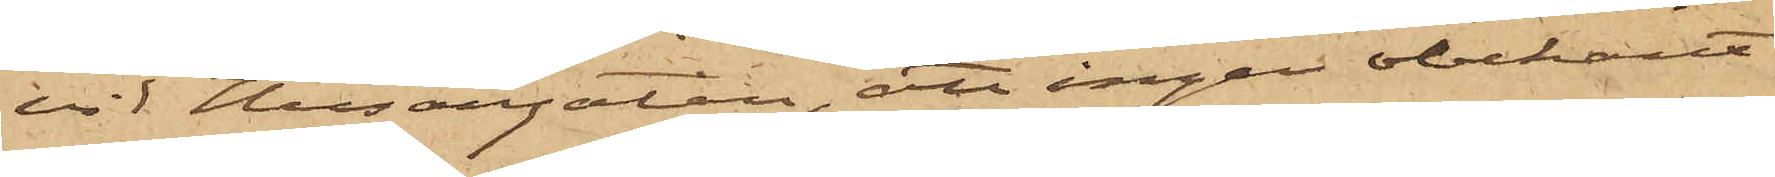vid Husargatan, att ingen obekant
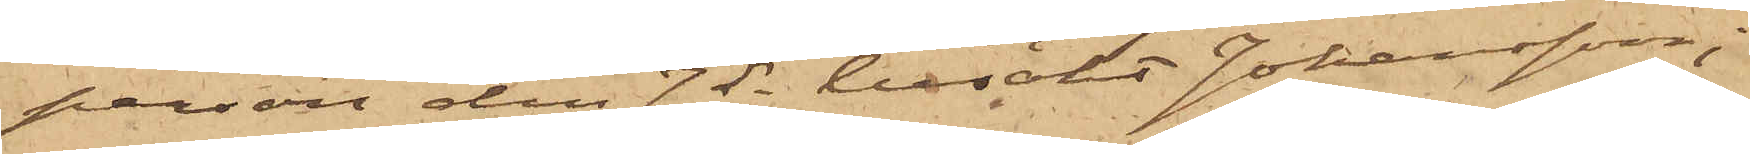person den 7 ds besökt Johansson;
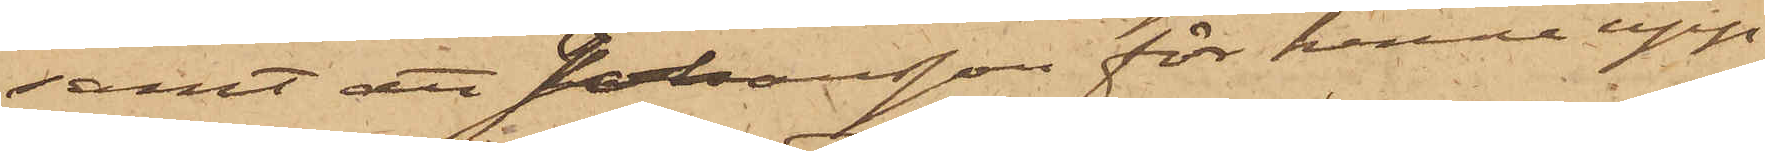samt att Johansson för henne upp¬
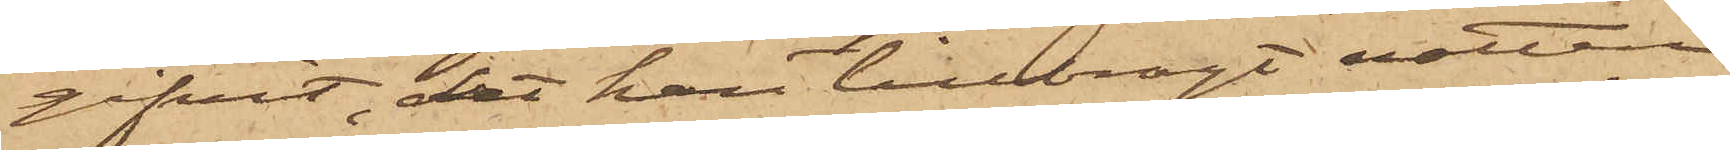gifvit, det han tillbragt natten
